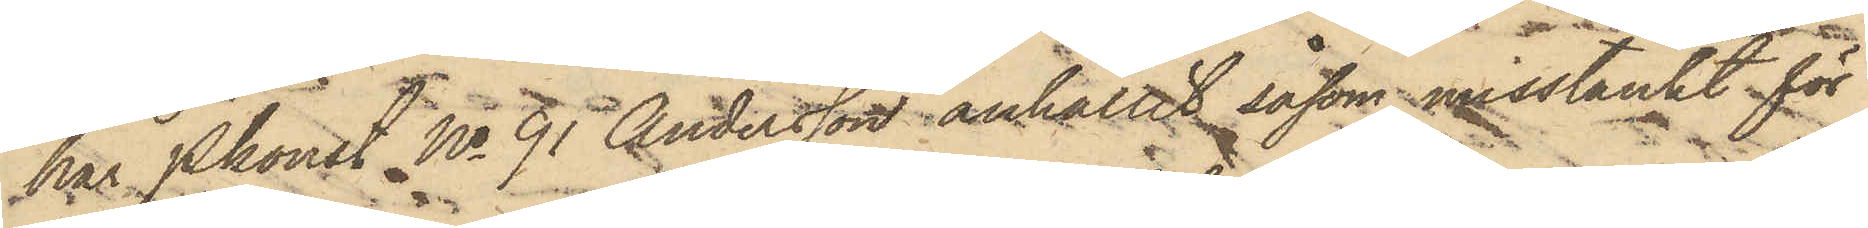har Pkonst No 91 Andersson anhållit såsom misstänkt för
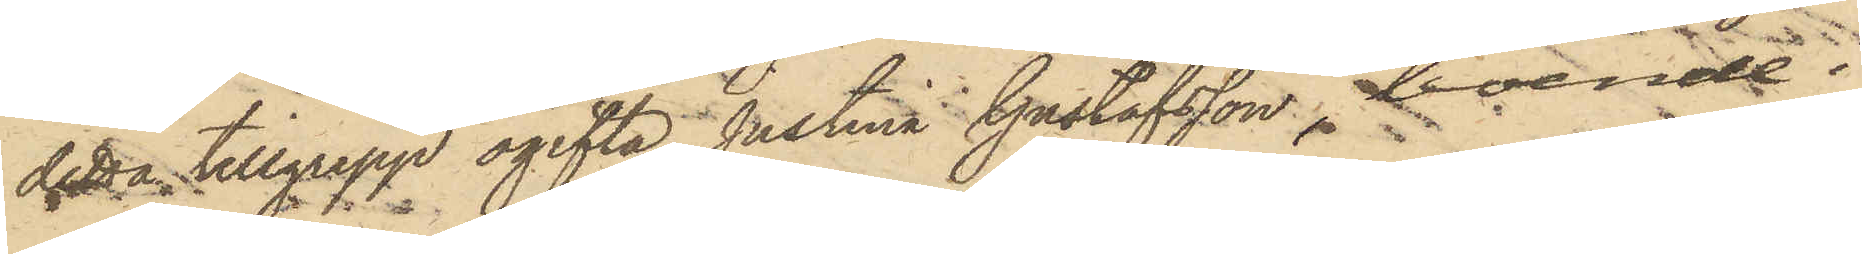detta tillgrepp ogifta Justina Gustafsson, boende i
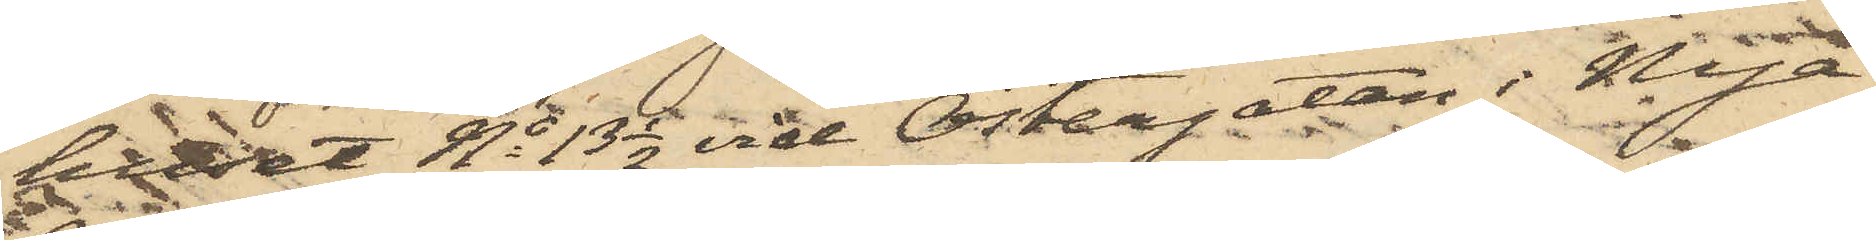huset No 13 1/2 vid Östergatan i Nya
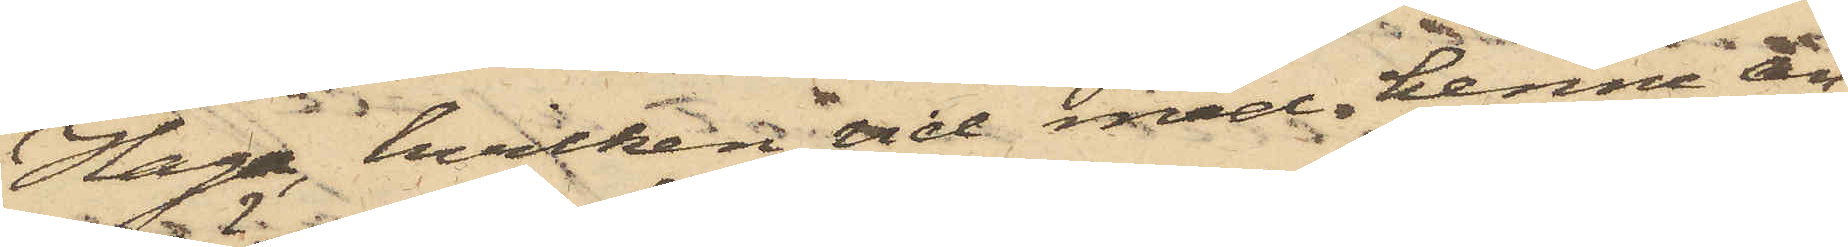Haga, hvilken vid med henne an¬
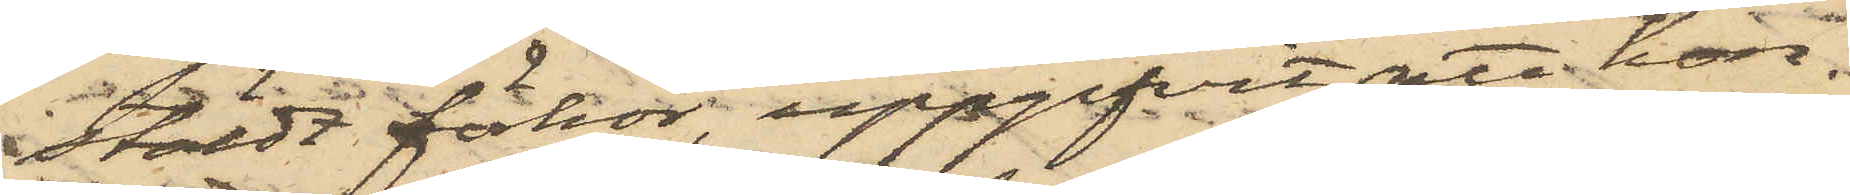stäldt förhör, uppgifvit, att hon
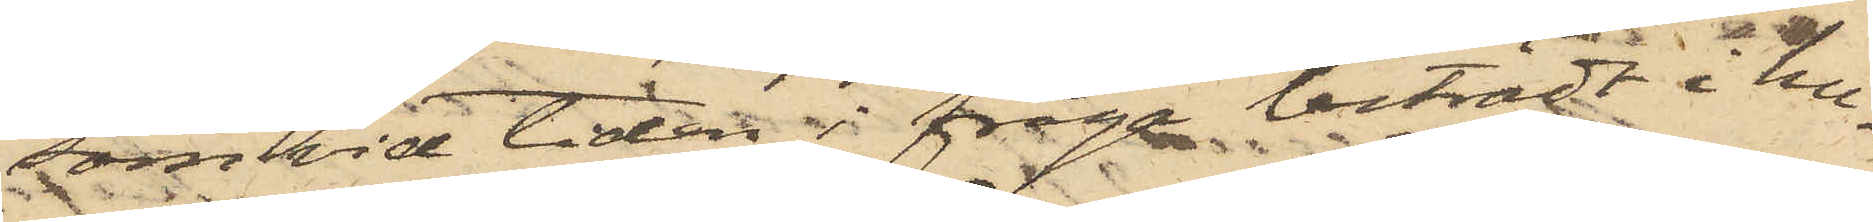som vid tiden i fråga biträdt i hu¬
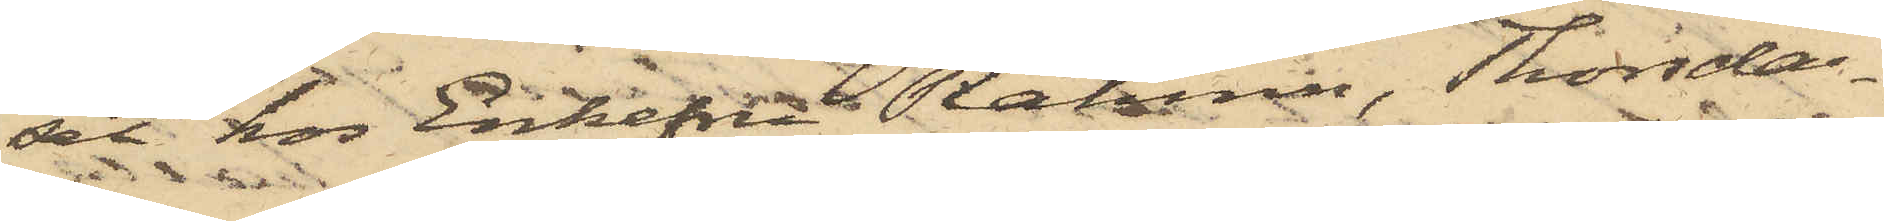set hos Enkefru Rahmn, Thorsda¬
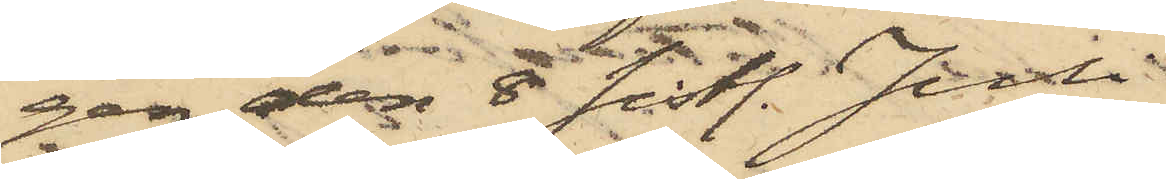gen den 8 sist. Juli
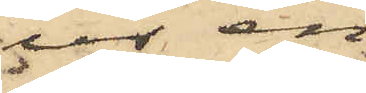ur en
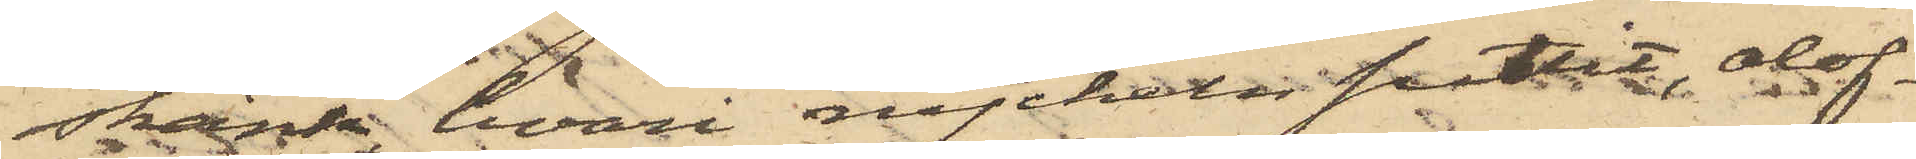skänk, hvari nyckeln suttit, olof¬
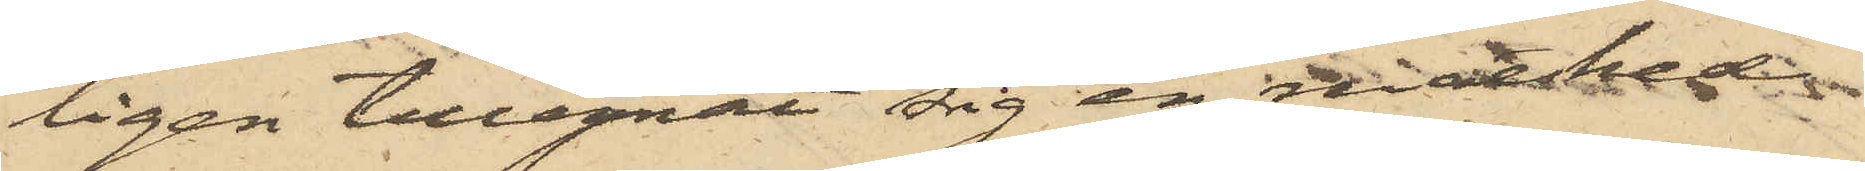ligen tillegnat sig en matsked
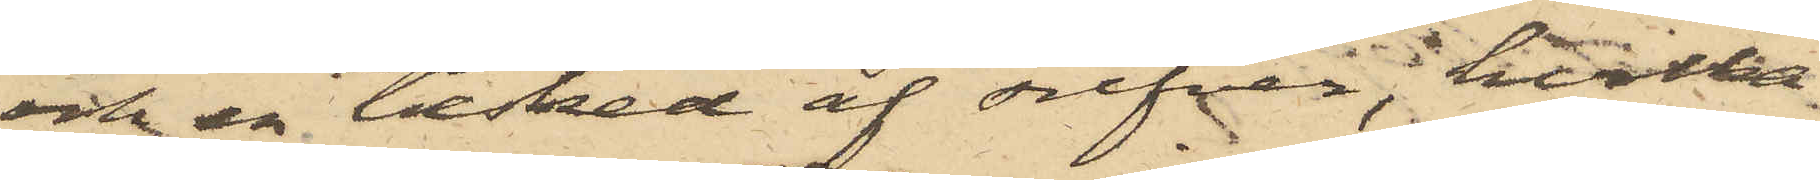och en tesked af silfver, hvilka
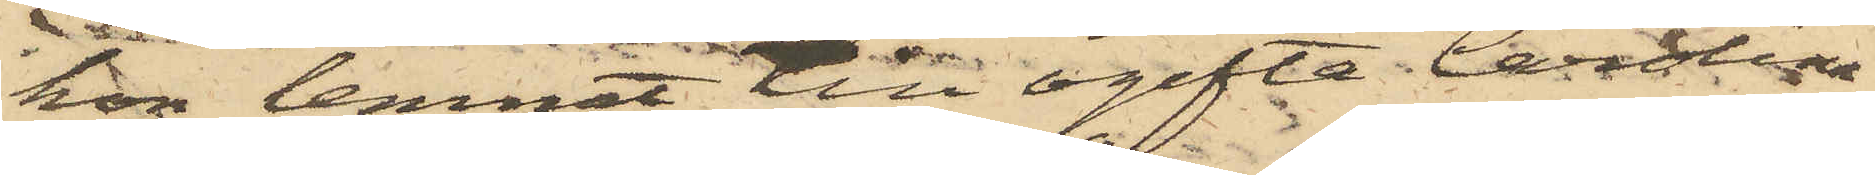hon lemnat till ogifta Carolina
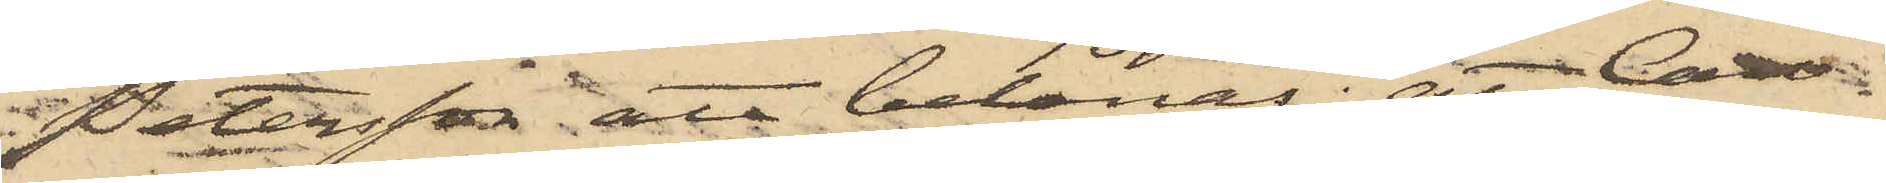Petersson att belånas; att Caro¬
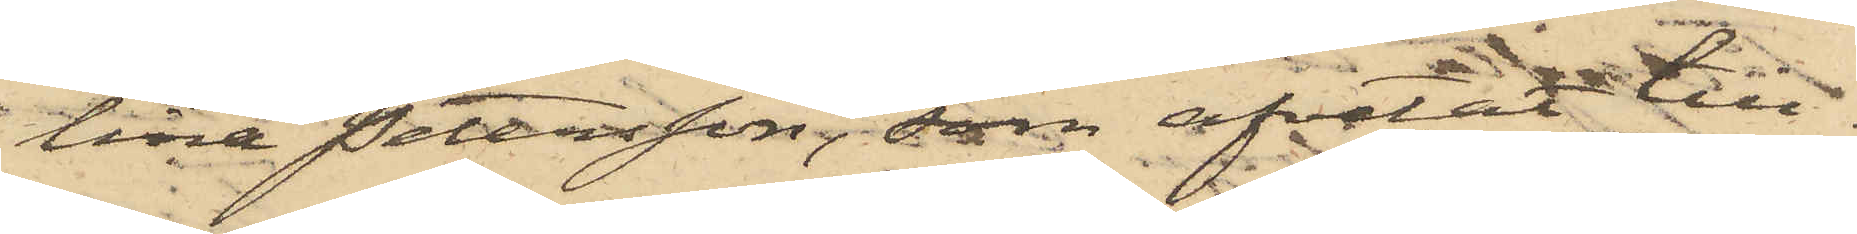lina Petersson, som afvetat till¬
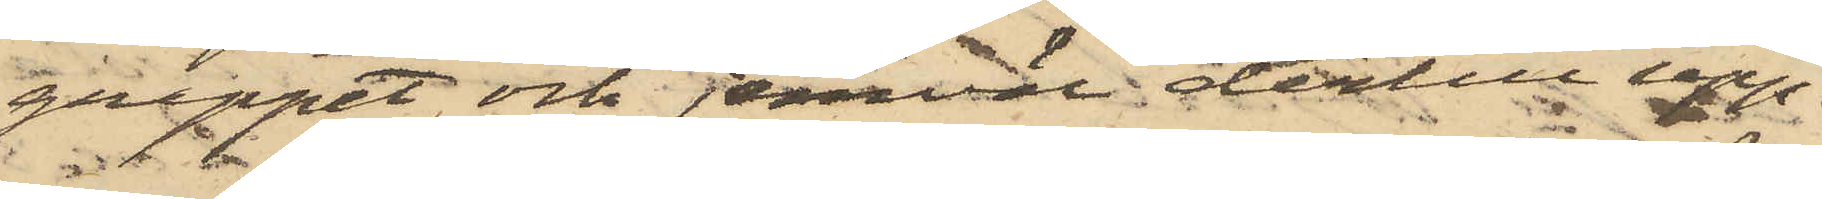greppet och jemväl dertill upp¬
